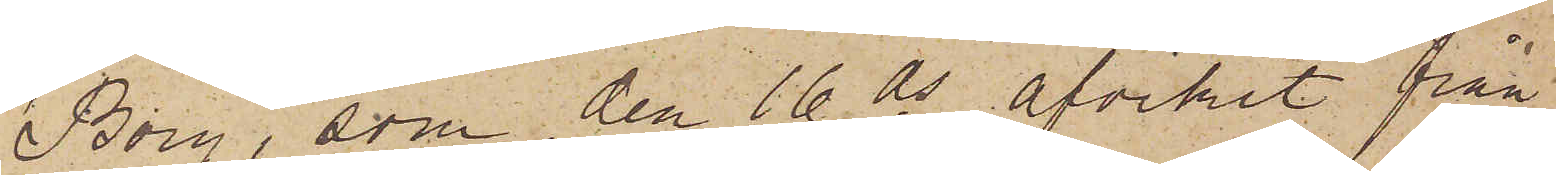Borg, som den 16 ds afvikit från
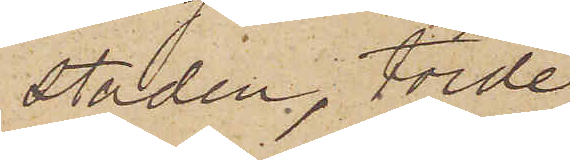staden, torde
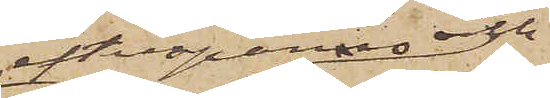efterspanas och
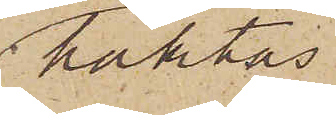häktas
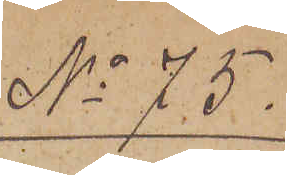No 75.
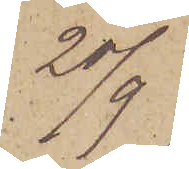20/9
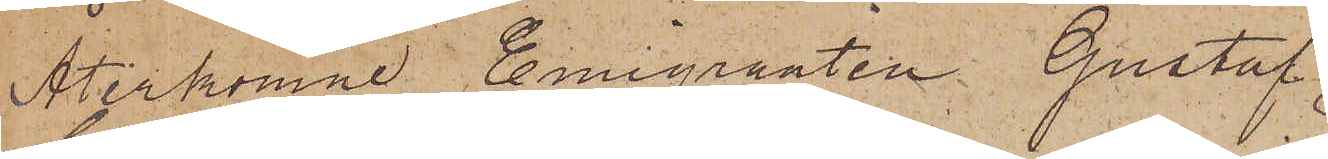Återkomne Emigranten Gustaf
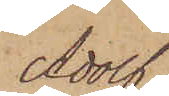Adolf
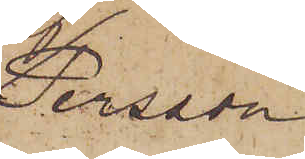Persson
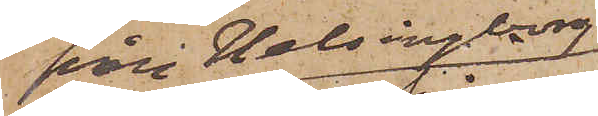från Helsingborg
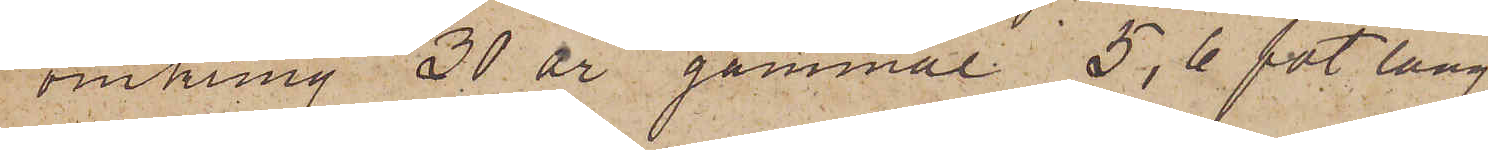omkring 30 år gammal 5,6 fot lång
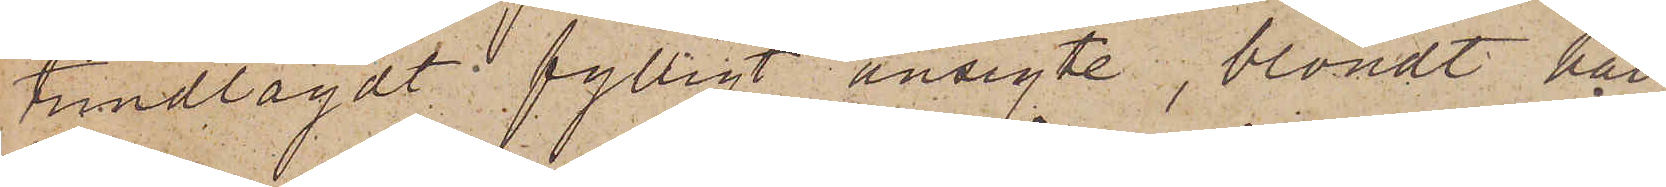trindlagdt fylligt ansigte, blondt hår,
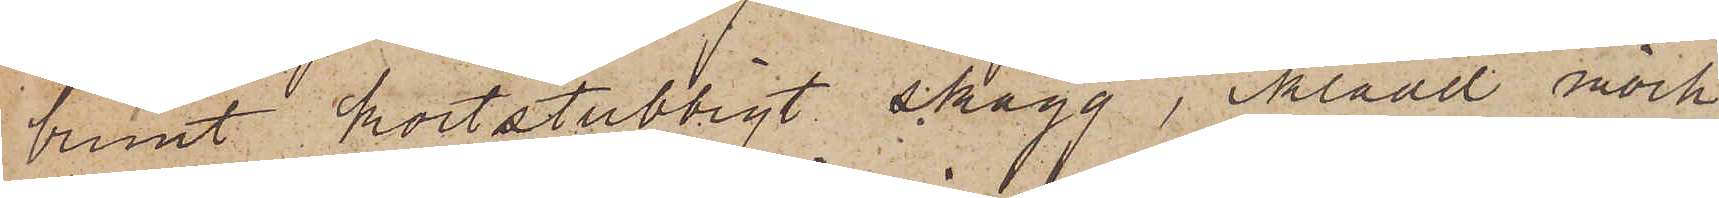brunt kortstubbigt skägg, iklädd mörk
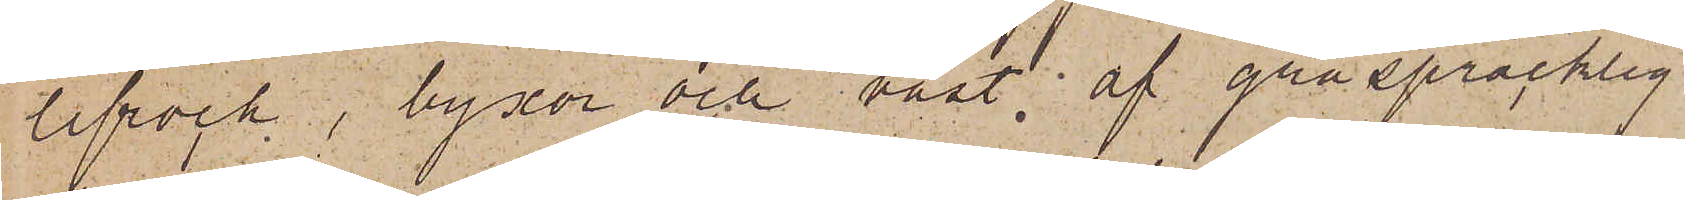lifrock, byxor och väst af gråspräcklig
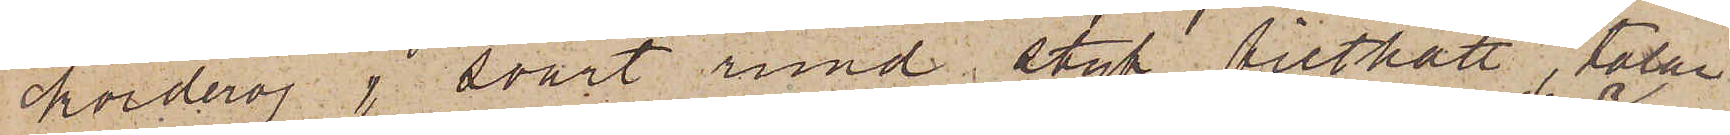korderoj, svart rund styf filthatt, talar
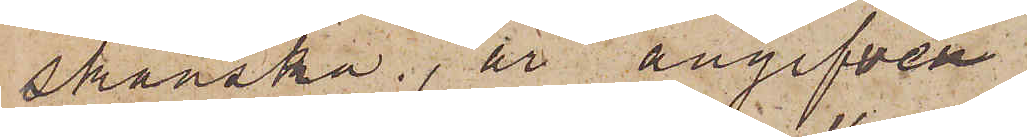skånska, är angifven
